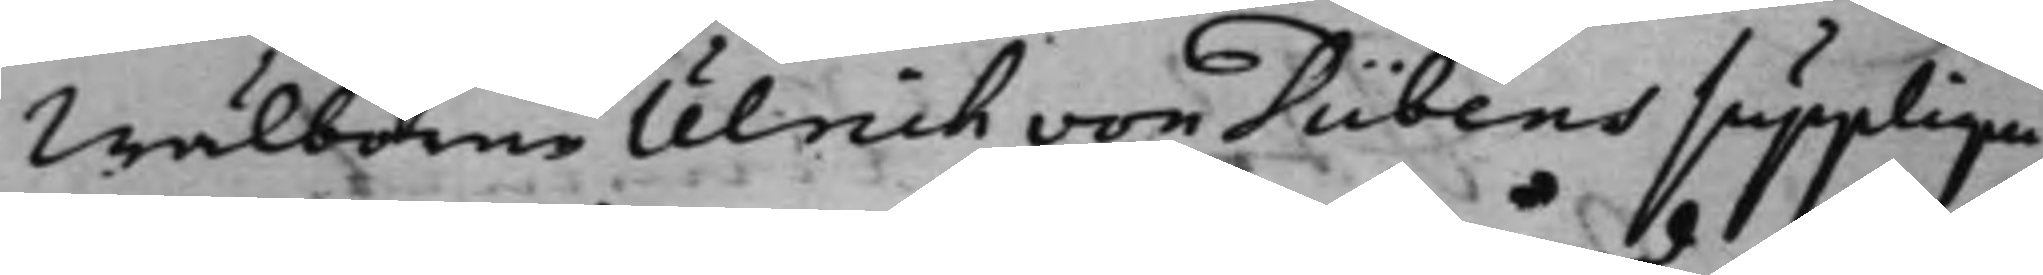Wälborne Ulrich von Dübens supplique
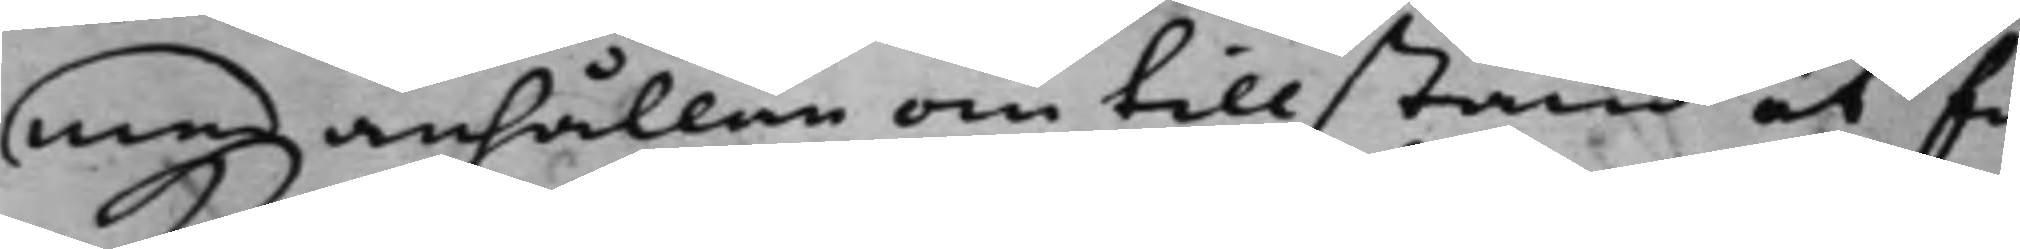med anhållan om tillstånd at få
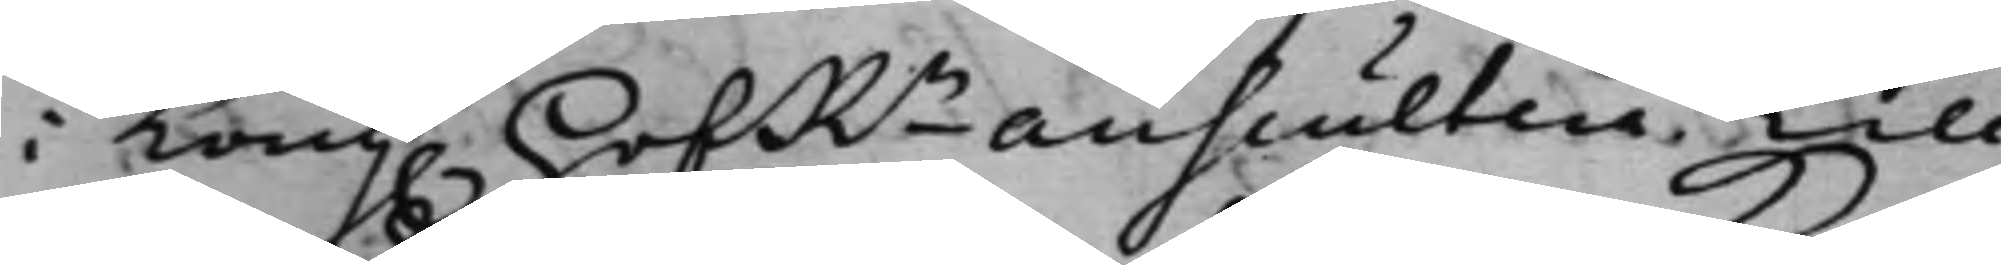i Kong. HofRn auscultera. Till
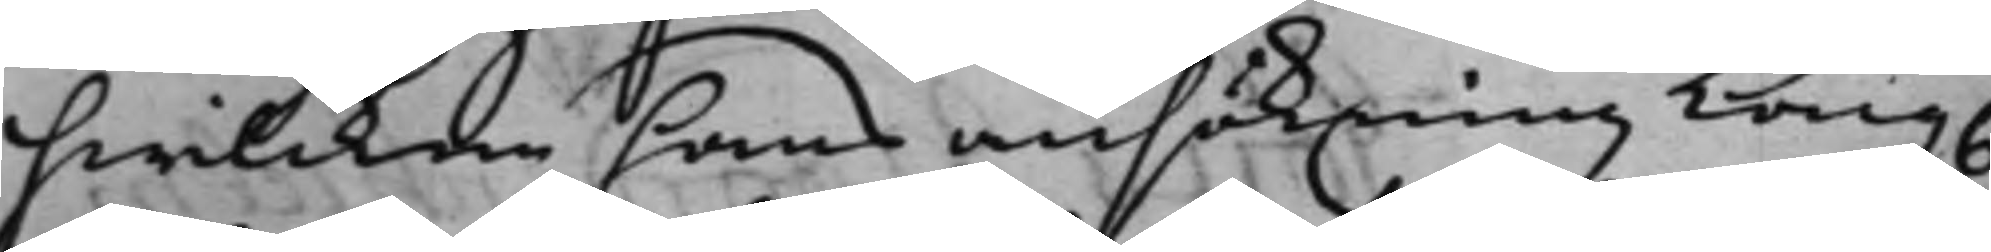hwilcken hans ansökning Kong.
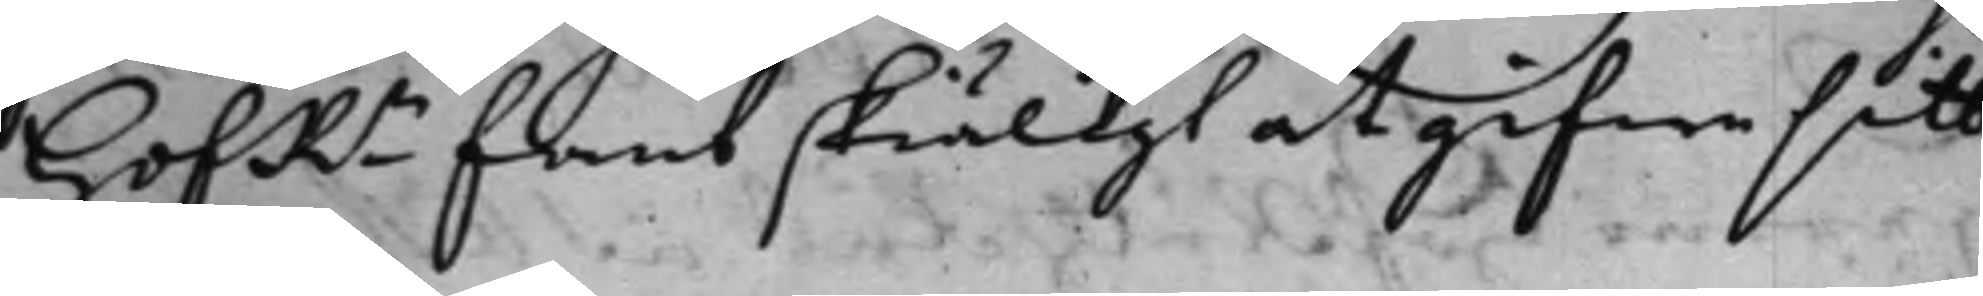HofRn fant skiäligt at gifwa sitt
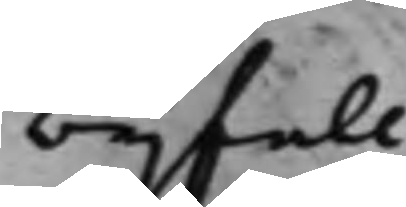bijfall.
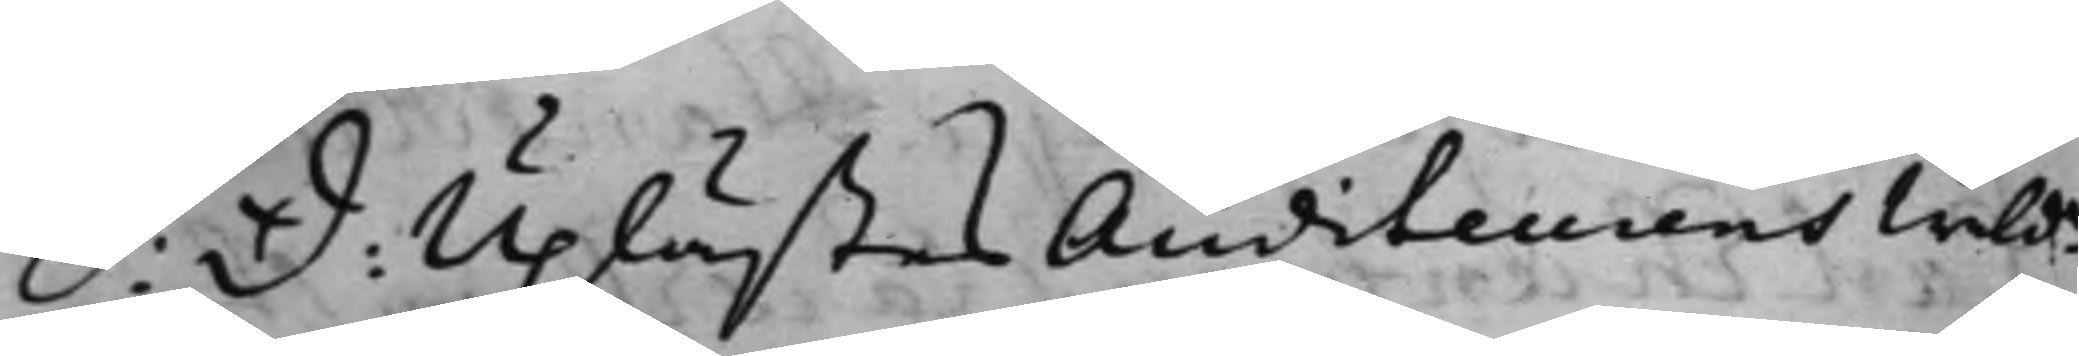S: d: Uplästes Auditeurens Wälde
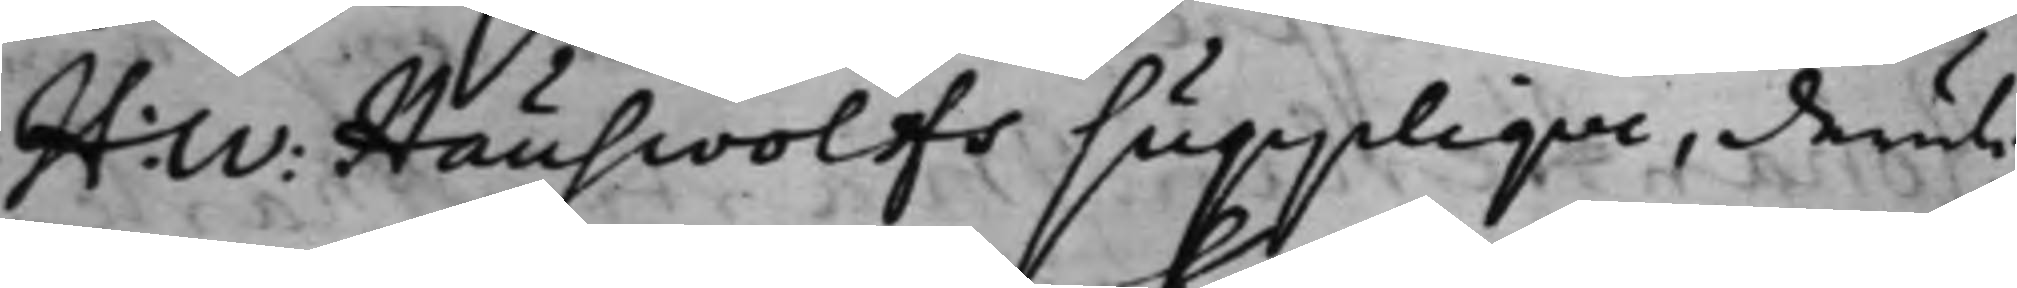H: W: Hauswolffs supplique, deruti
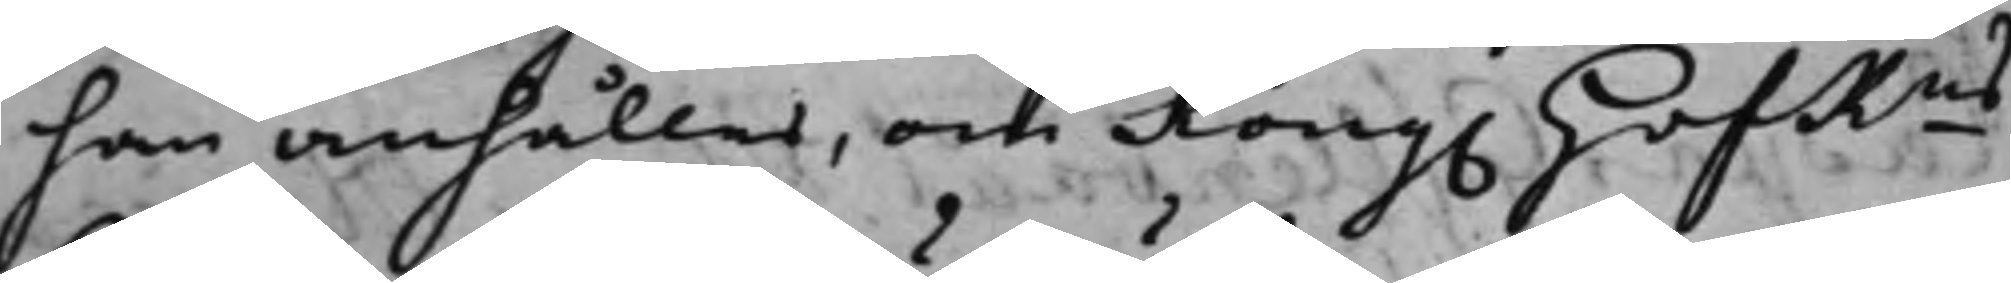han anhåller, om Kong. HofRns
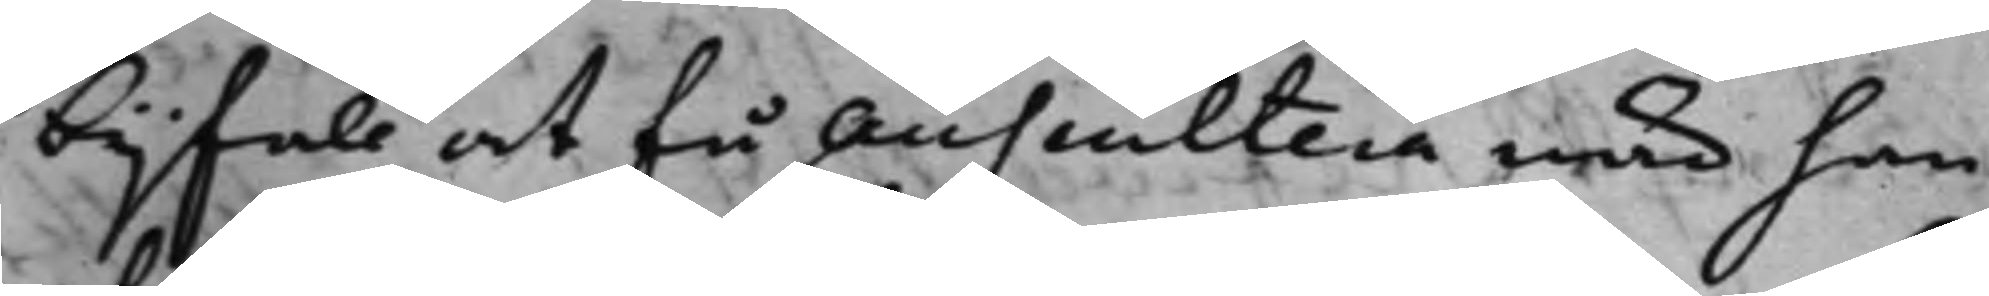bjjfall at få auscultera när han
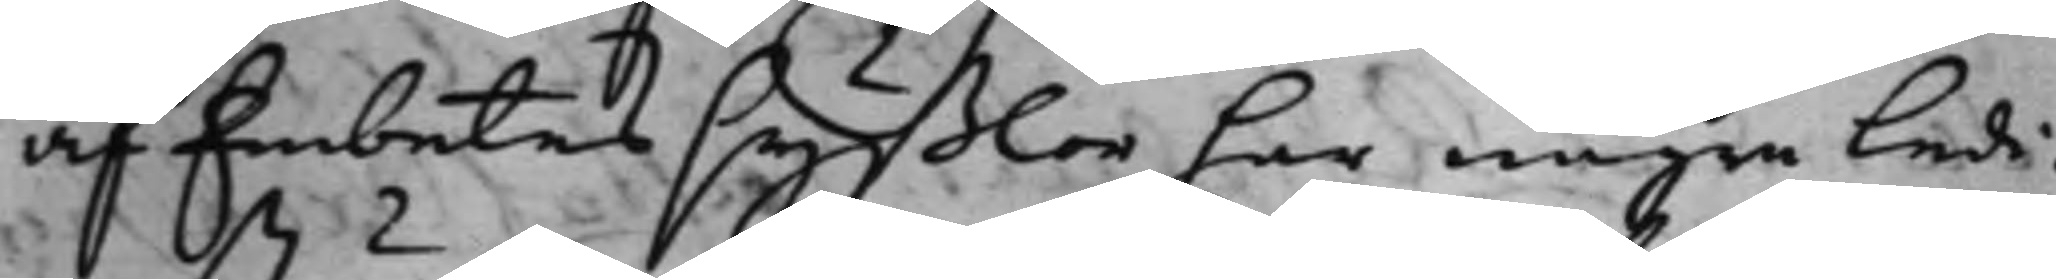af Embetes syßlor har någre Ledi¬
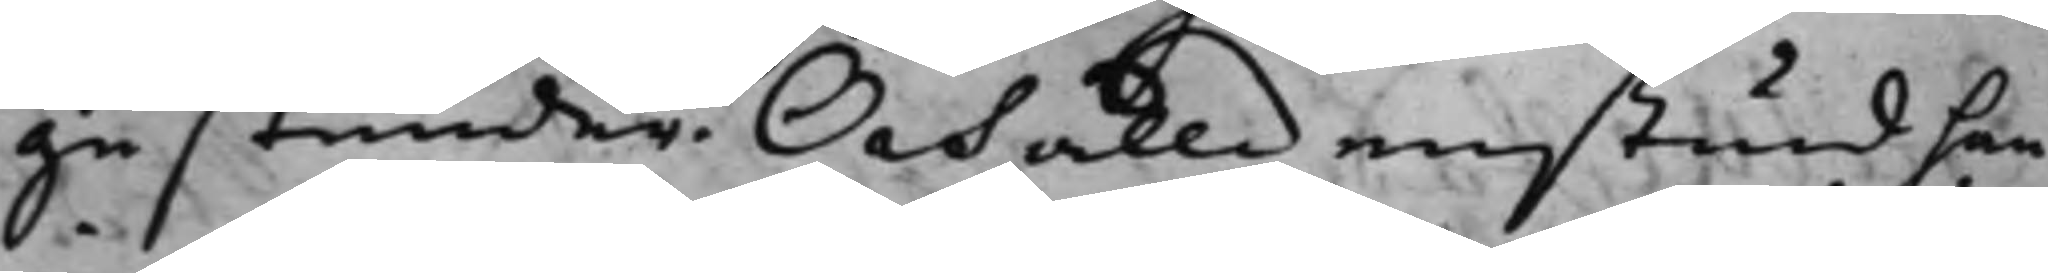ga stunder. Och alldenstund han
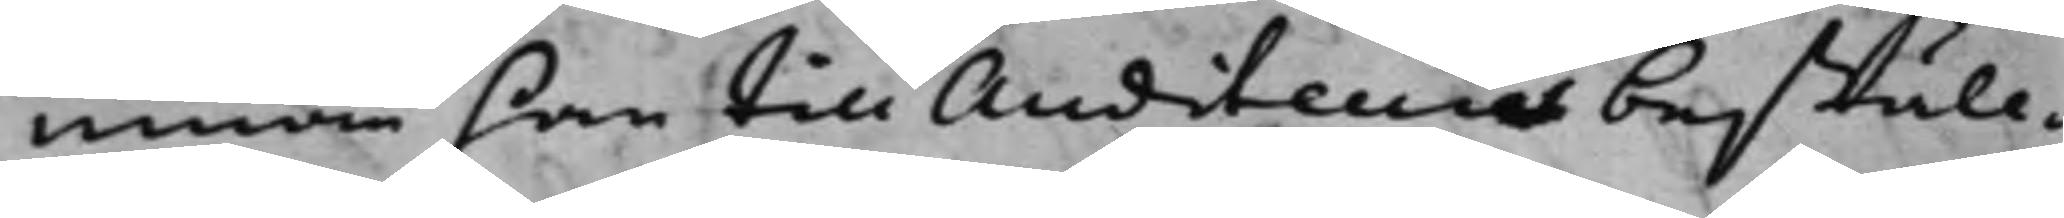innan han till Auditeurs beställ¬
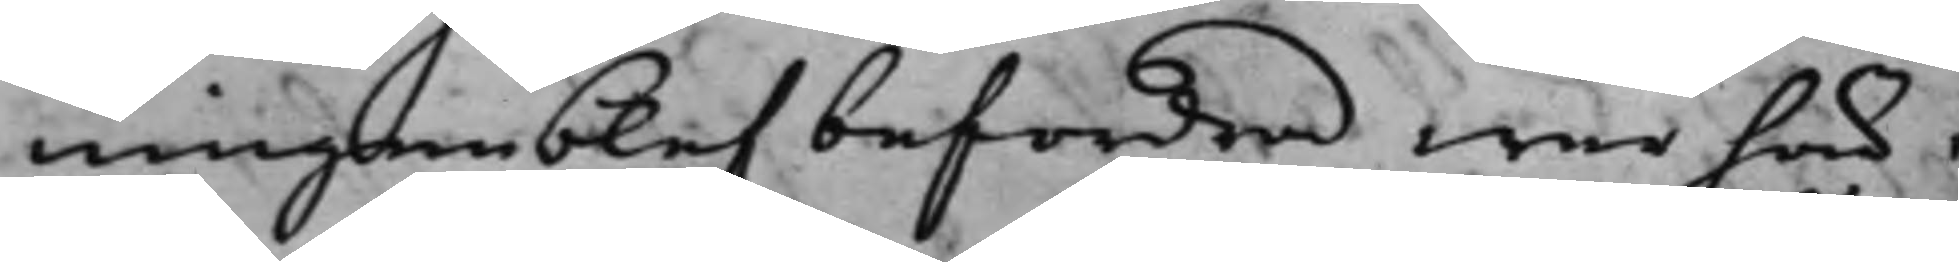ningen blef befordrad war här i
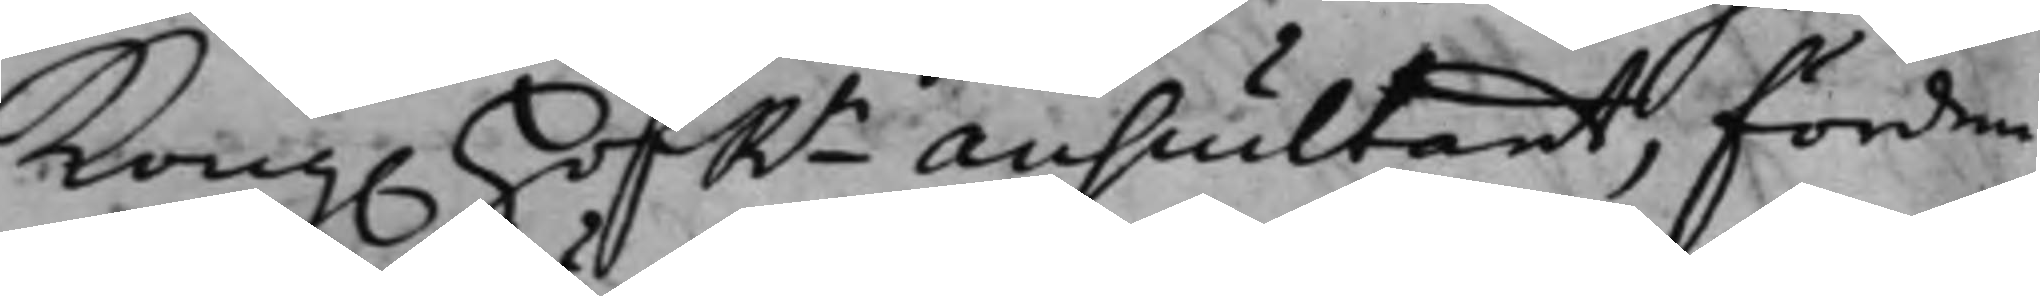Kong. HofRn Auscultant, förden¬
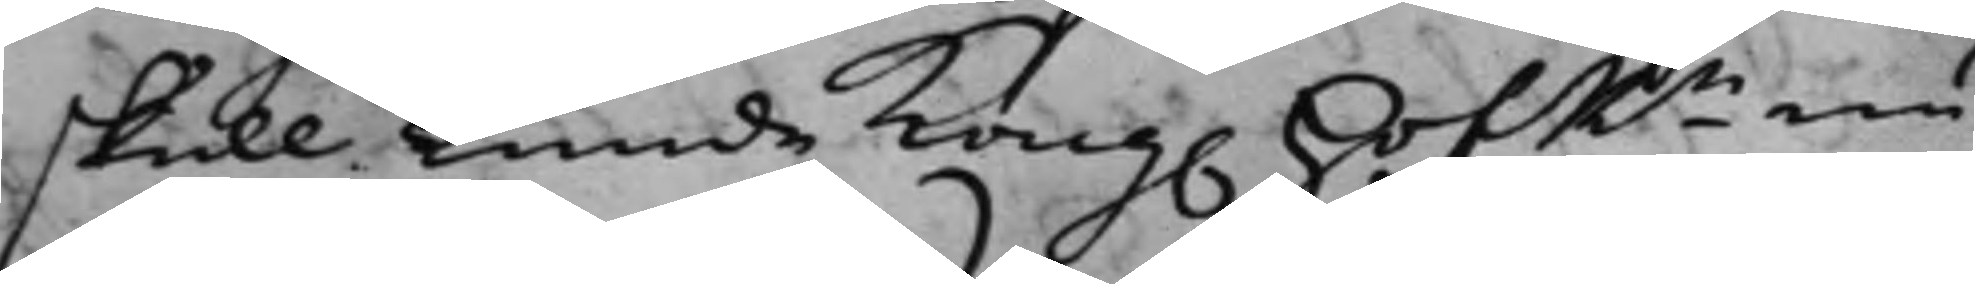skull kunde Kong. HofRn nu
